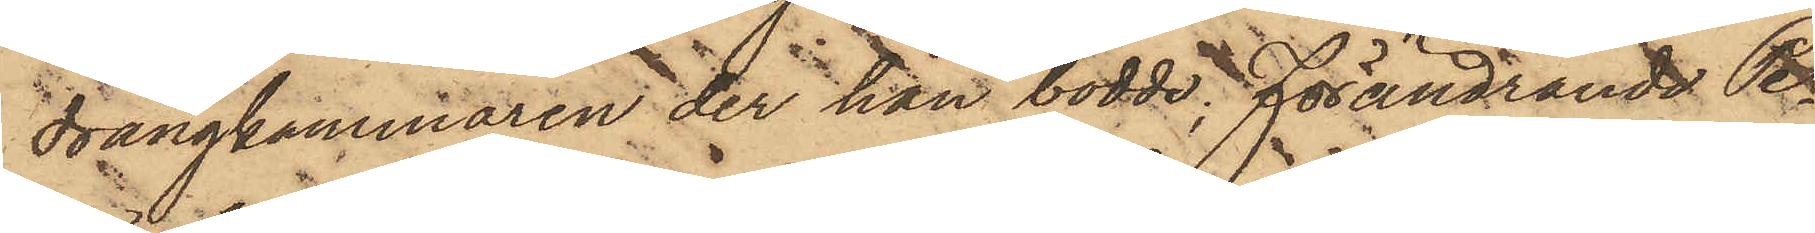drängkammaren der han bodde, förändrande Pe¬
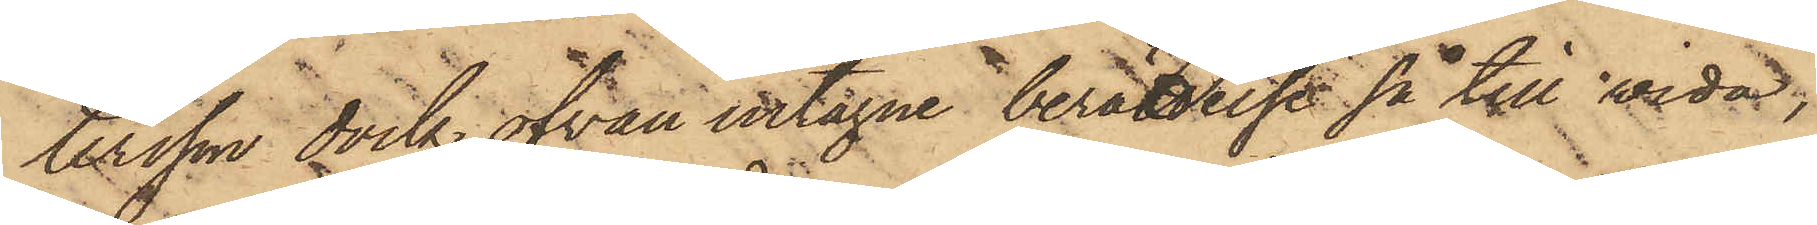tersson dock ofvan intagne berättelse så till wida;
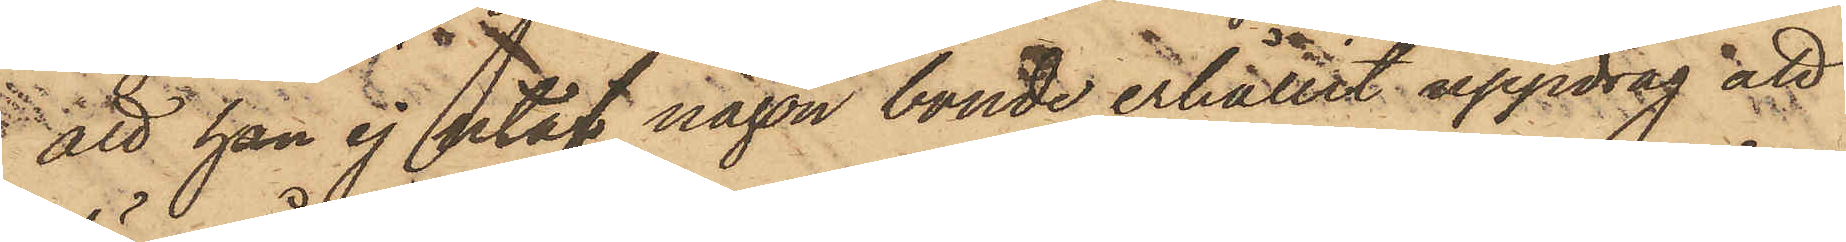att han ej utaf någon bonde erhållit uppdrag att
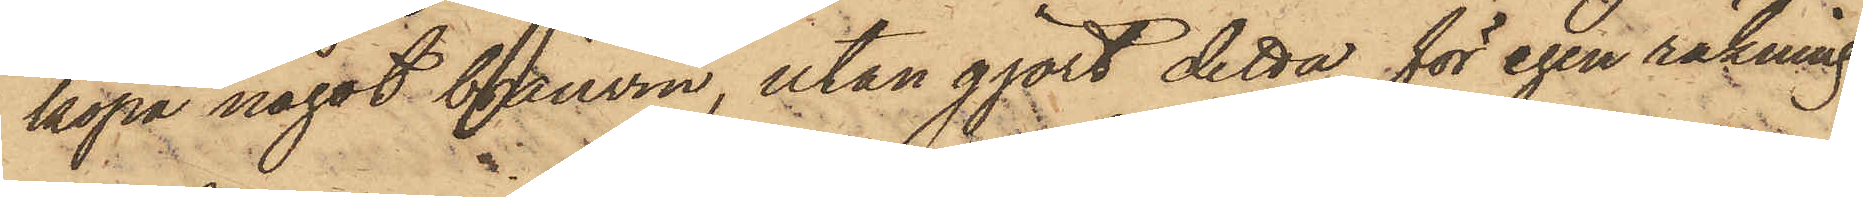köpa något bränvin, utan gjort detta för egen räkning.
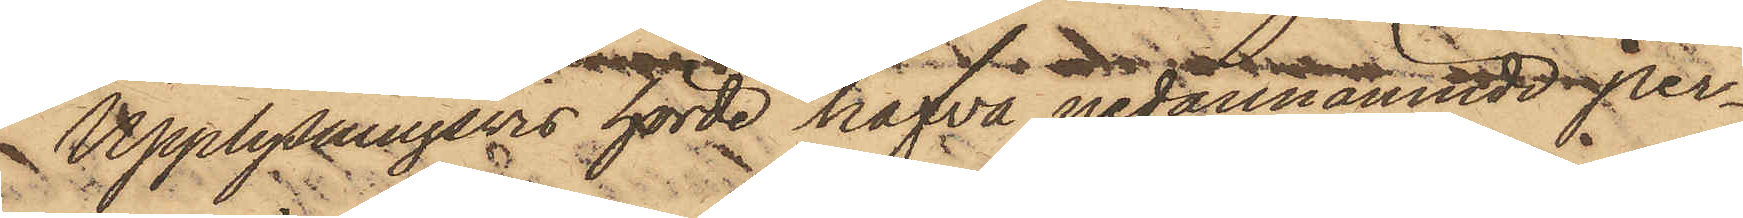Upplysningsvis hörde hafva nedannämnde per¬
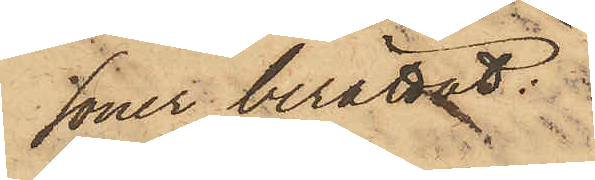soner berättat:
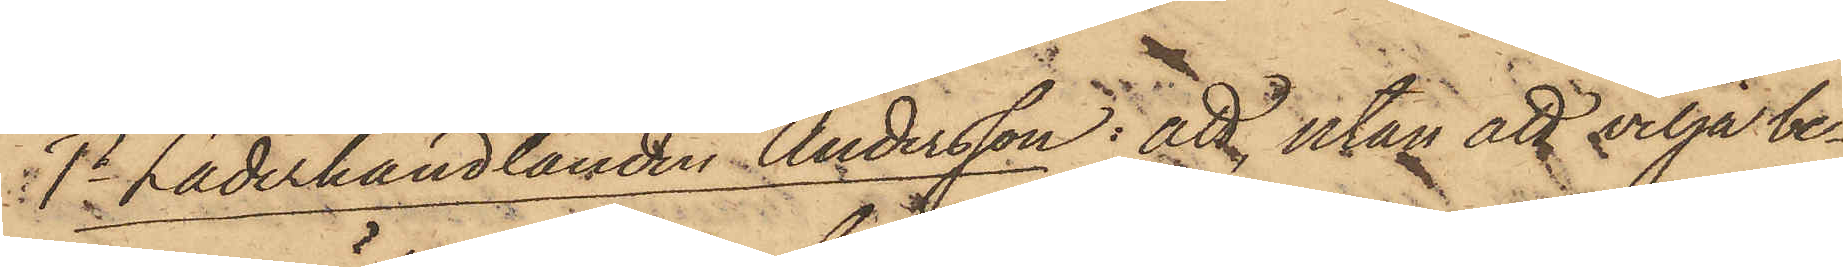1o Läderhandlanden Andersson: att, utan att vilja be¬
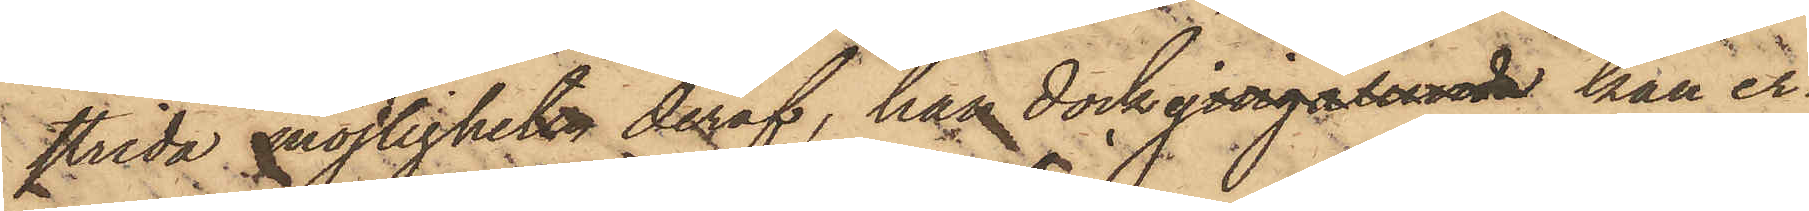strida möjligheten deraf, han dock ej ingalunda kan er¬
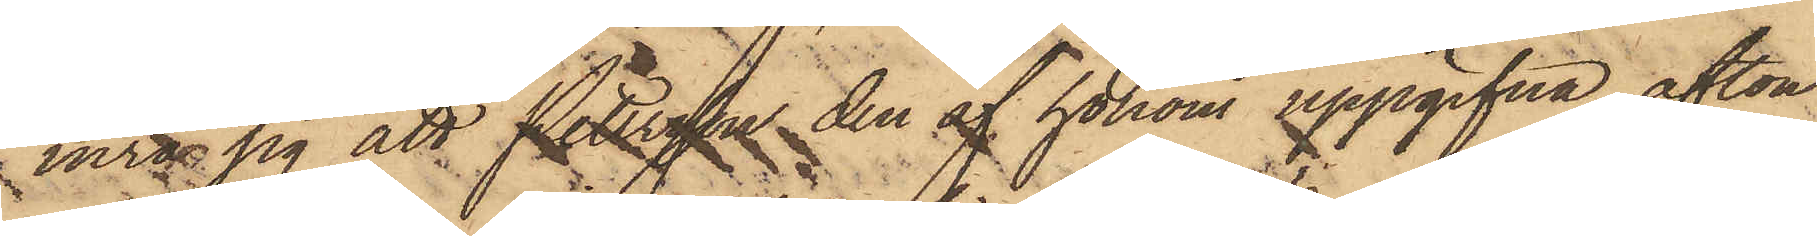inra sig att Petersson den af honom uppgifna afton
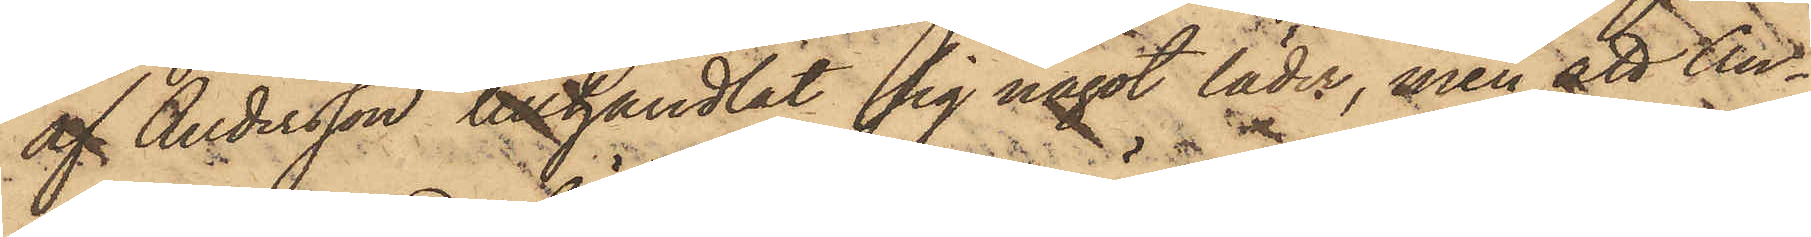af Andersson tillhandlat sig något läder, men att An¬
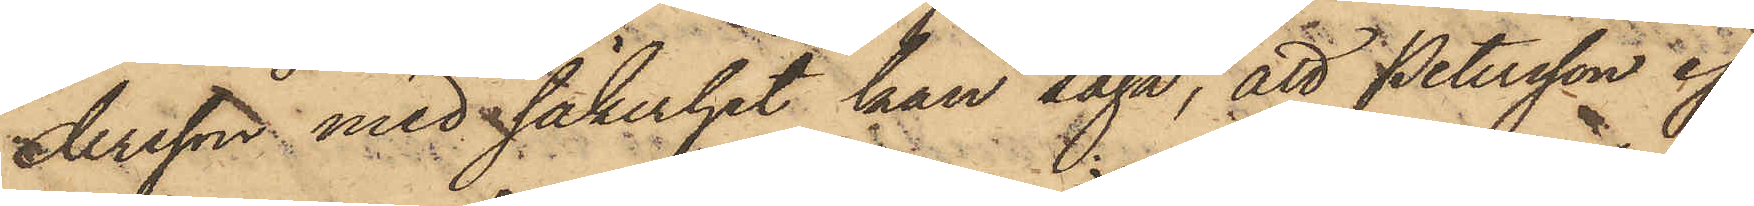dersson med säkerhet kan säga; att Petersson ej
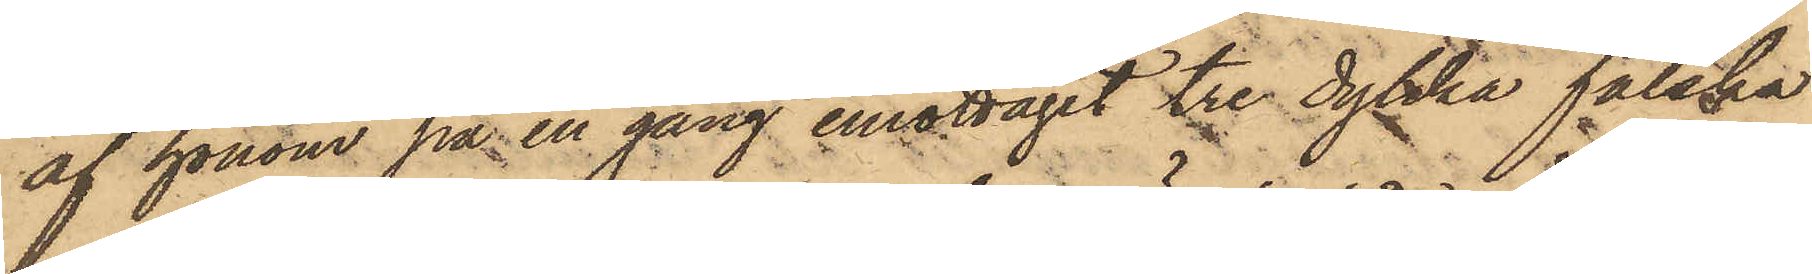af honom på en gång emottagit tre dylika falska
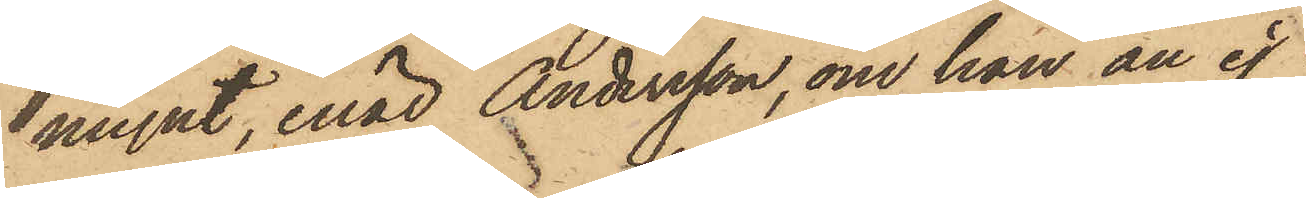mynt, enär Andersson, om han än ej
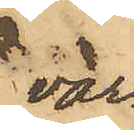var¬
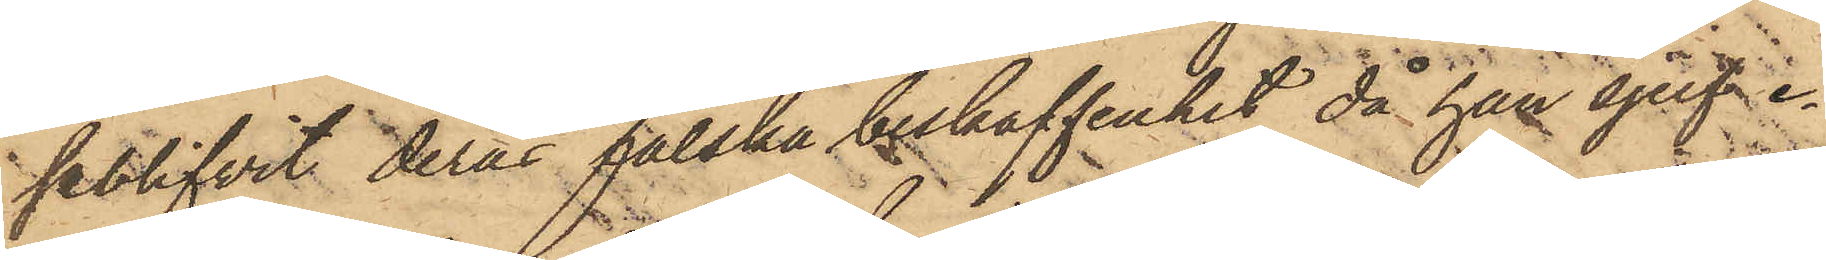seblifvit deras falska beskaffenhet, då han sjelf e¬
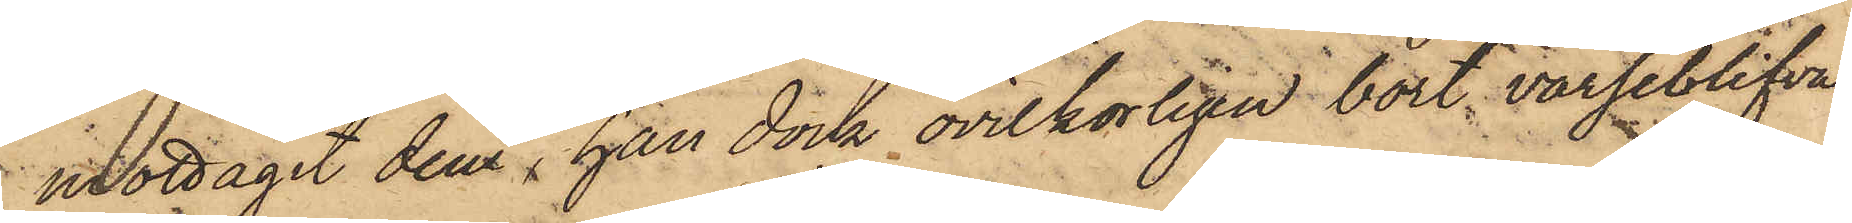mottagit dem, han dock ovilkorligen bort varseblifva
